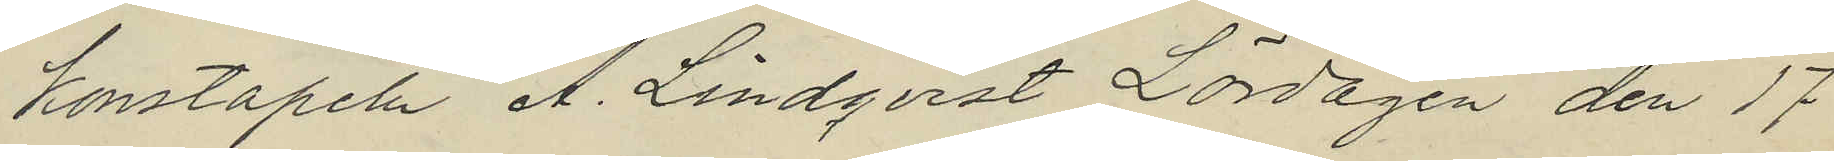konstapeln A. Lindqvist Lördagen den 17
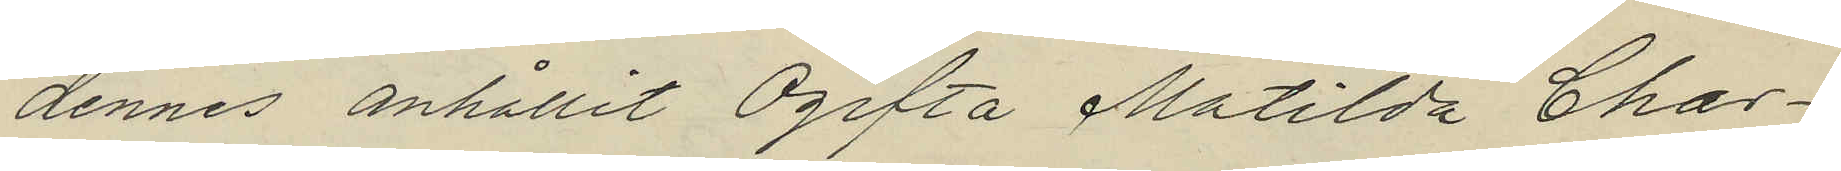dennes anhållit Ogifta Matilda Char¬
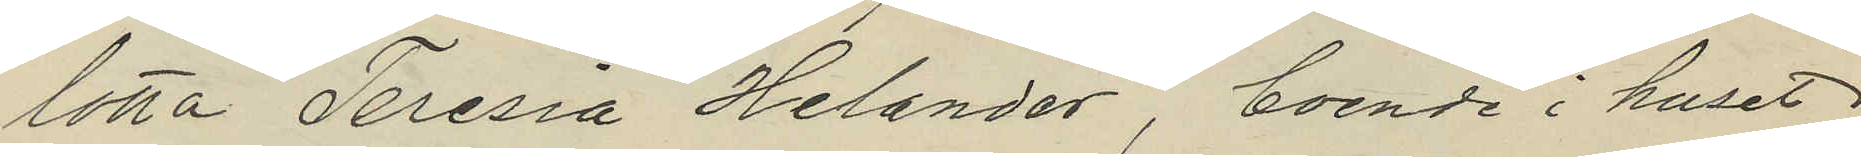lotta Teresia Helander, boende i huset
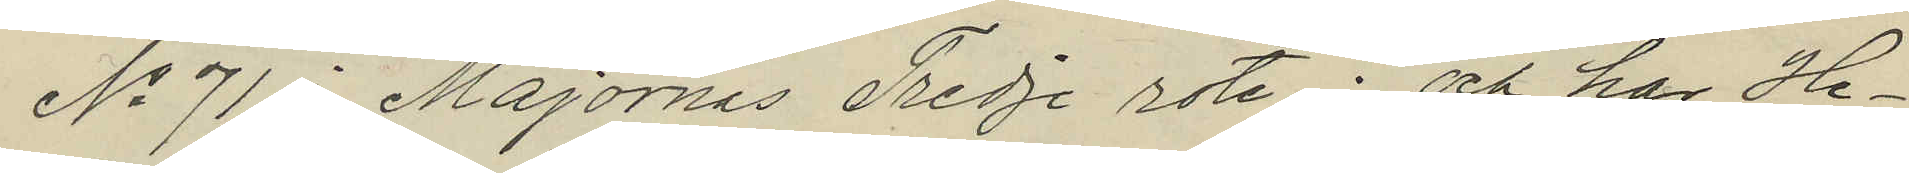No 71 i Majornas Tredje rote; och har He¬
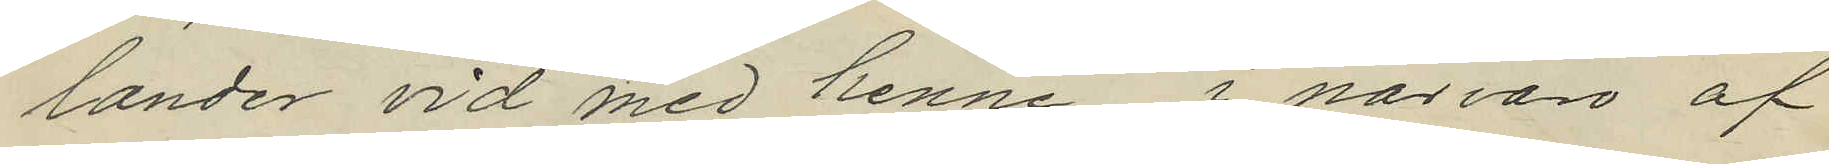lander vid med henne i närvaro af
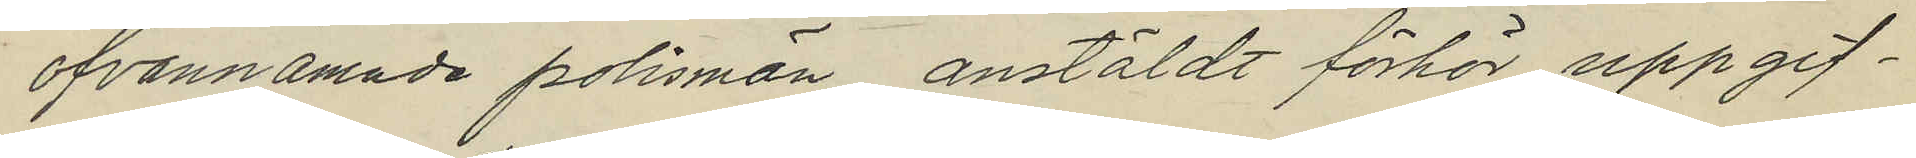ofvannämnde polismän anstäldt förhör uppgif¬
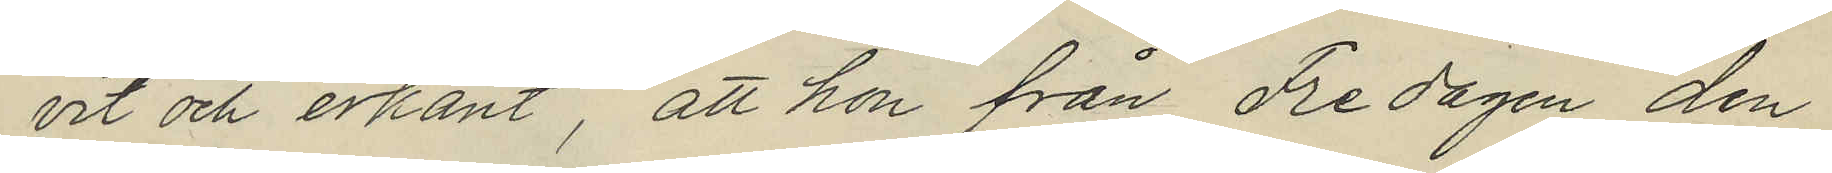vit och erkänt, att hon från Fredagen den
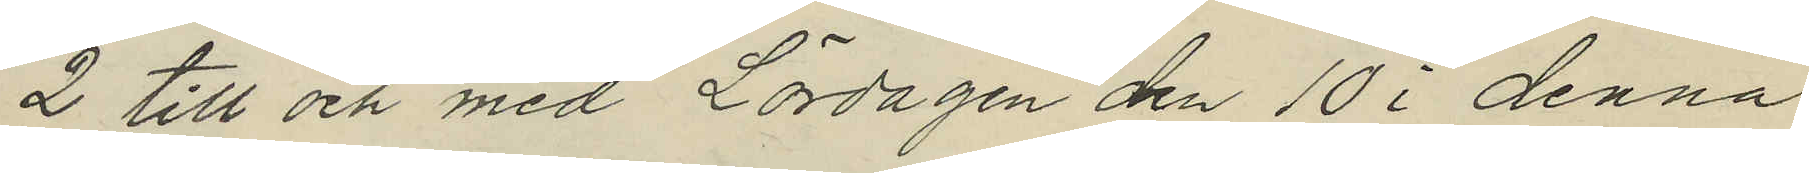2 till och med Lördagen den 10 i denna
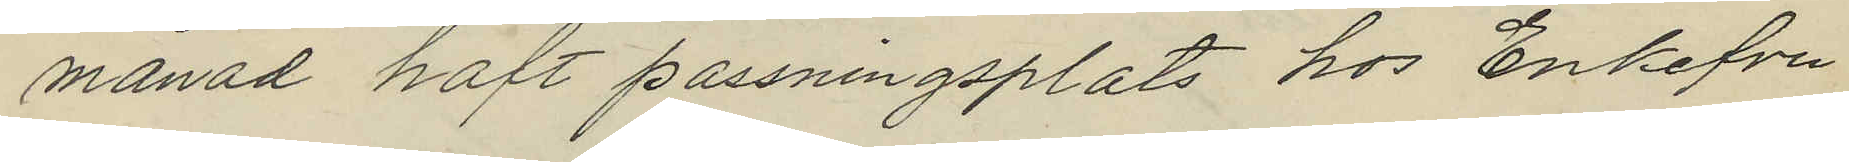månad haft passningsplats hos Enkefru
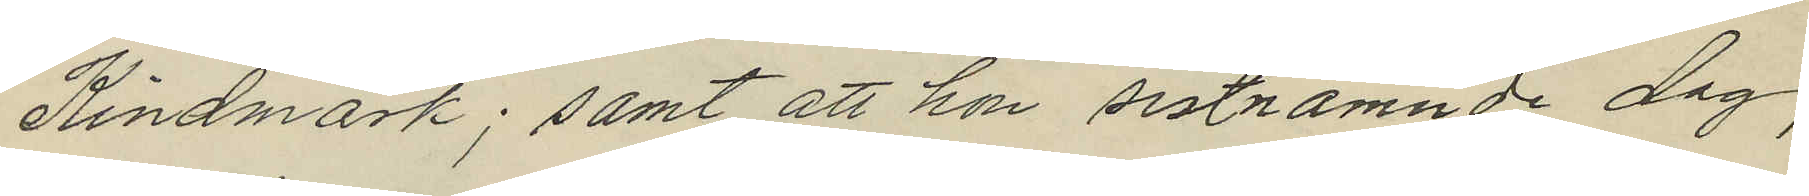Kindmark; samt att hon sistnämnde dag,
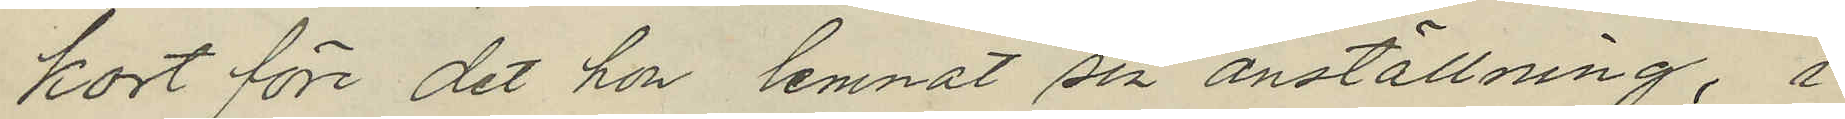kort före det hon lemnat sin anställning, i
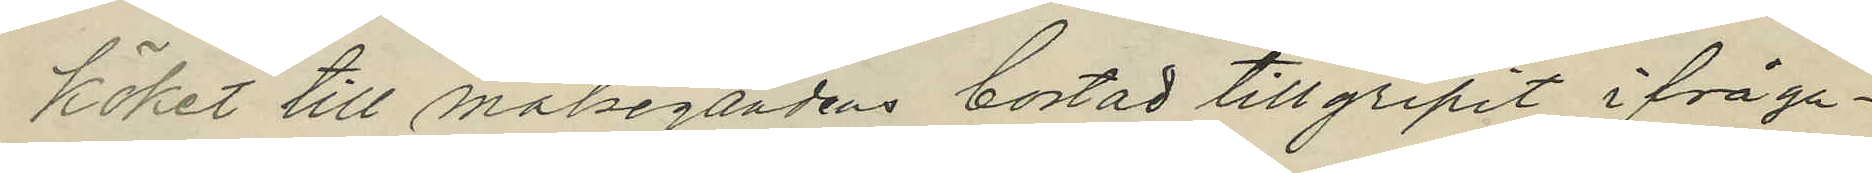köket till målsegandens bostad tillgripit i fråga¬
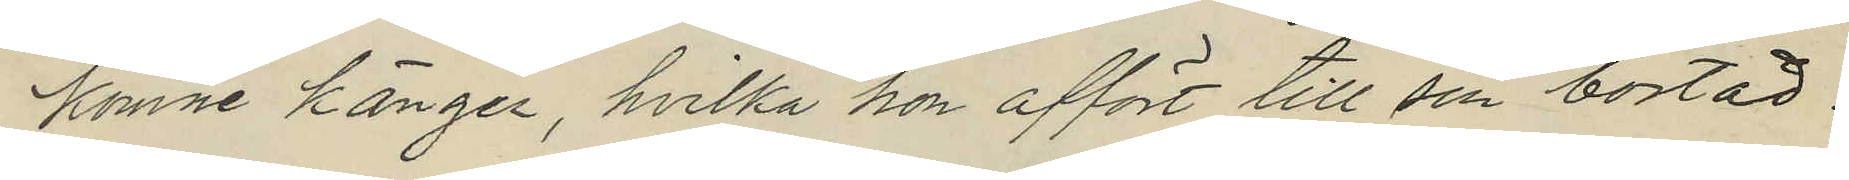komne känger, hvilka hon affört till sin bostad.
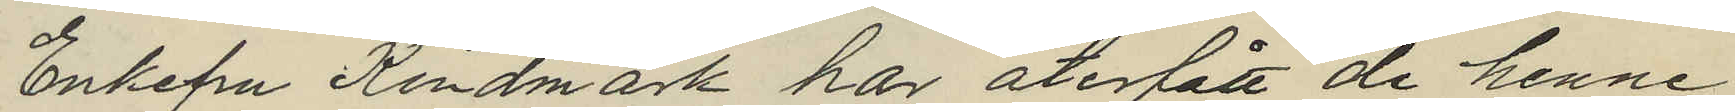Enkefru Kindmark har återfått de henne
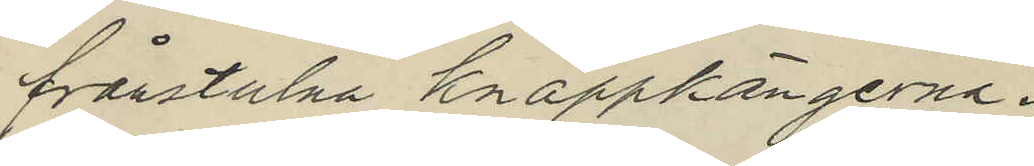frånstulna knäppkängerna.
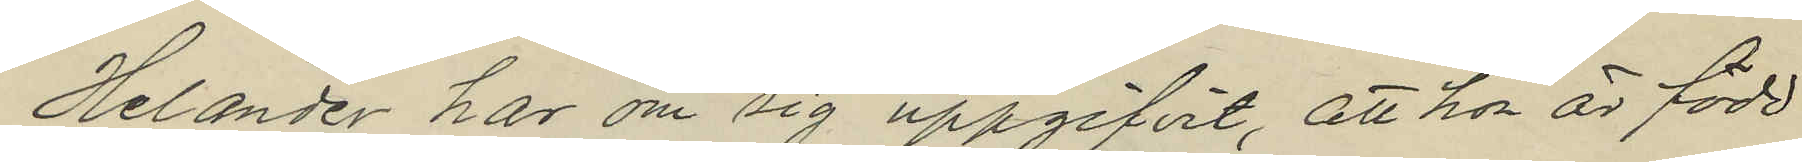Helander har om sig uppgifvit, att hon är född
